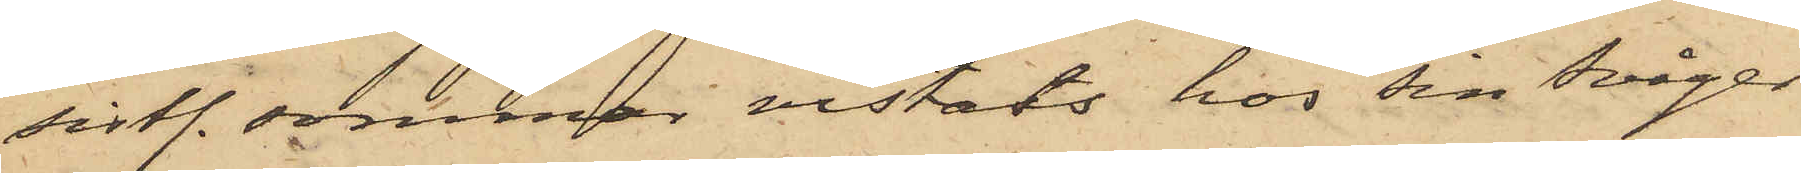sistl. sommar vistats hos sin svåger
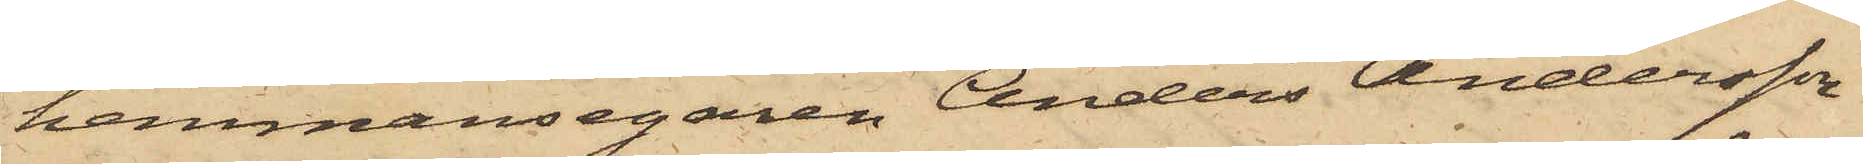hemmansegaren Anders Andersson
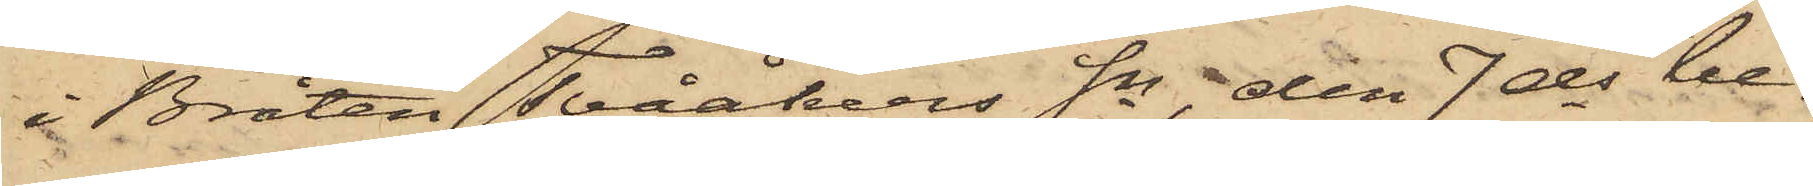i Bråten Tvååkers Sn, den 7 ds be¬
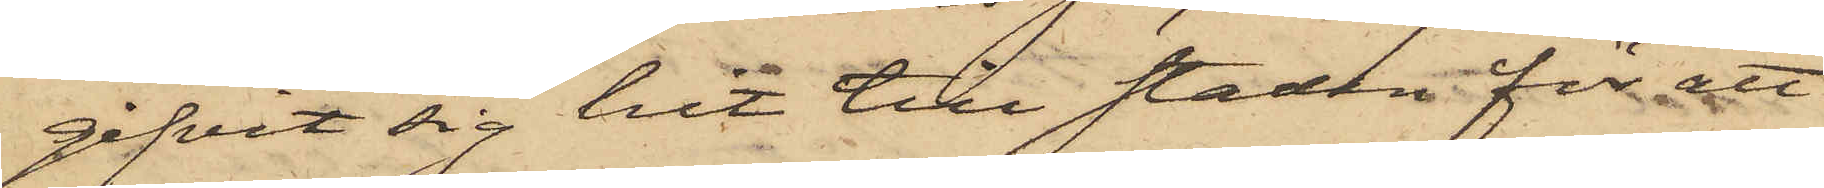gifvit sig hit till staden för att
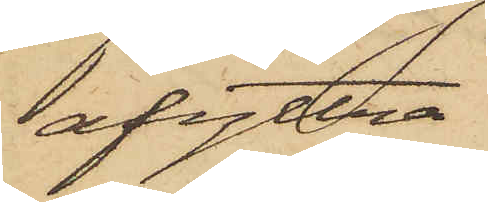afyttra
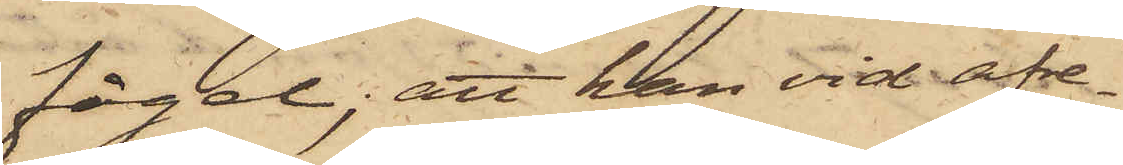fågel; att han vid afre¬
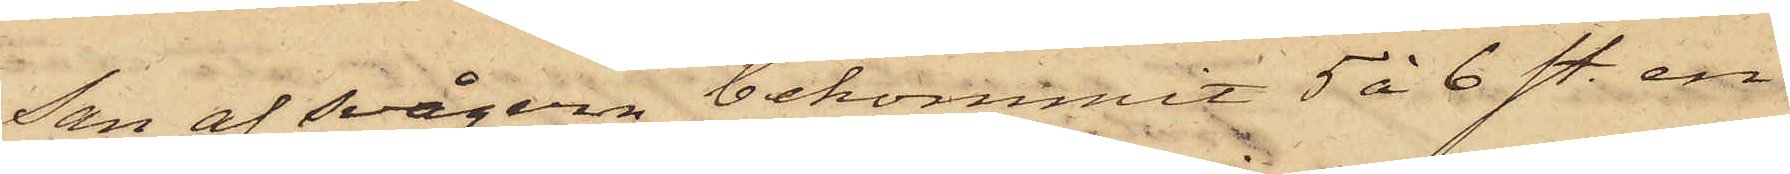san af svågern bekommit 5 à 6 st. en¬
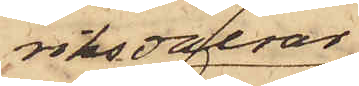riksdalrar,
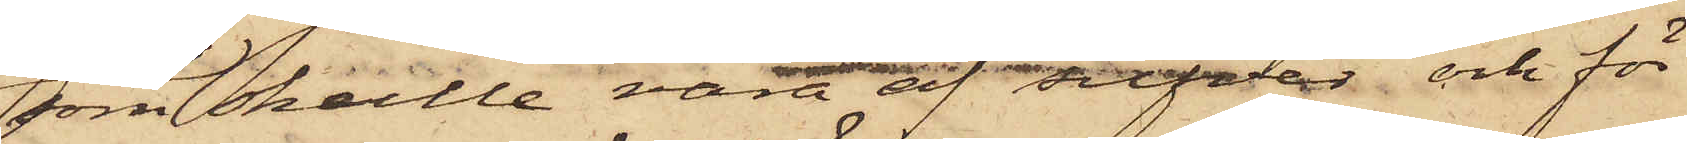som skulle vara af silfver och för
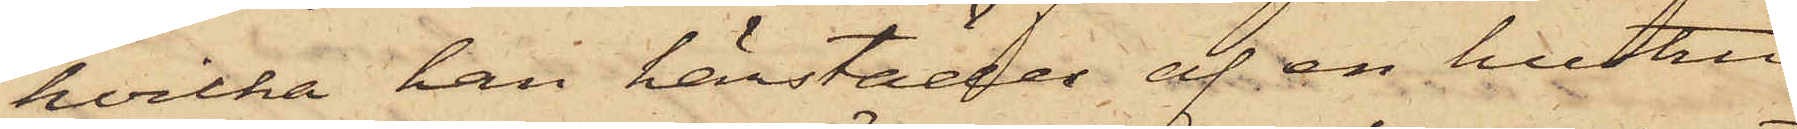hvilka han härstädes af en hustru
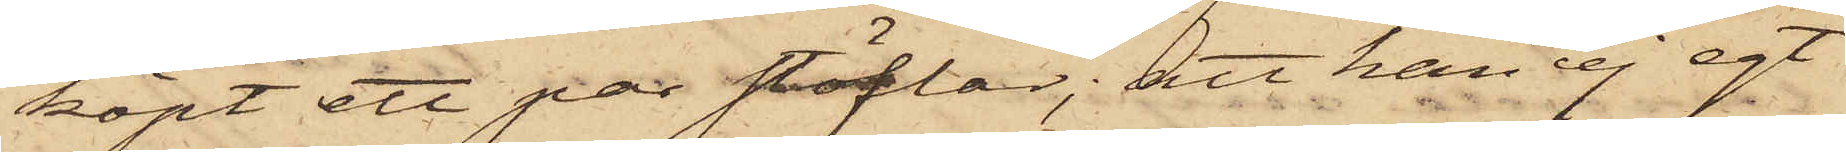köpt ett par stöflar; att han ej egt
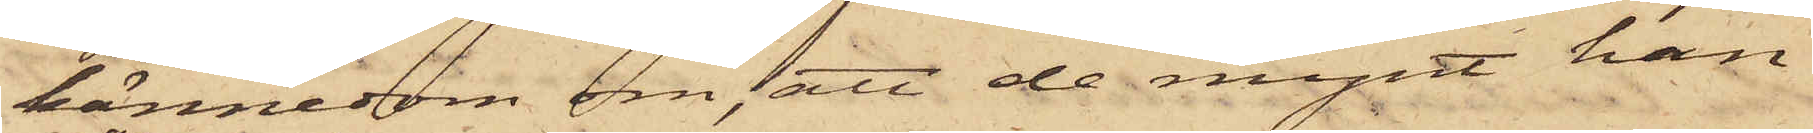kännedom om, att de mynt han
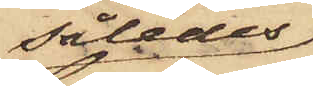således
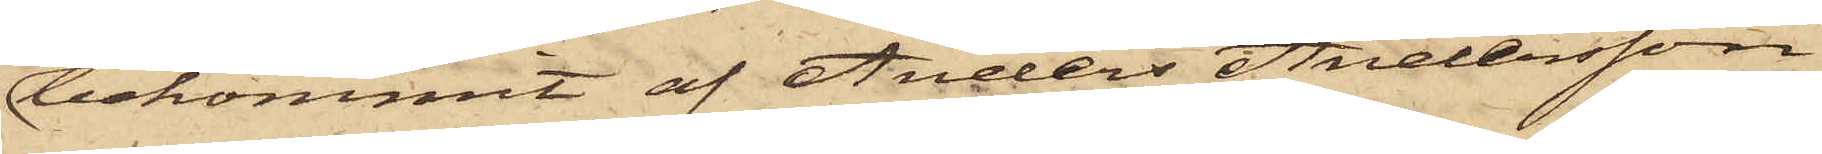bekommit af Anders Andersson
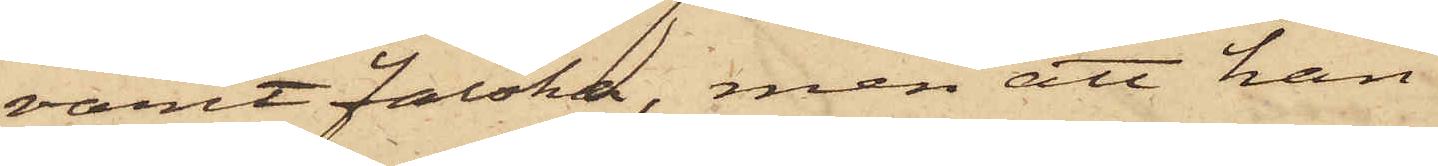varit falska, men att han
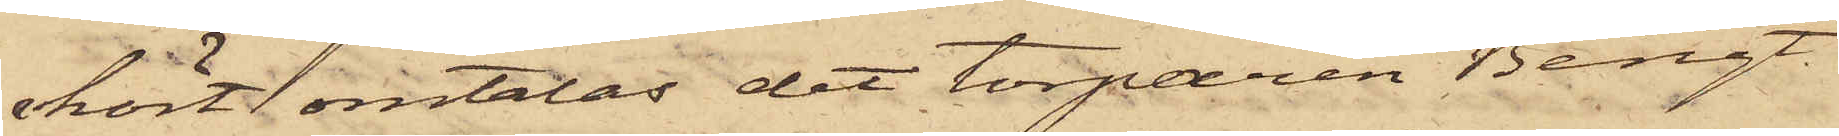hört omtalas det torparen Bengt
